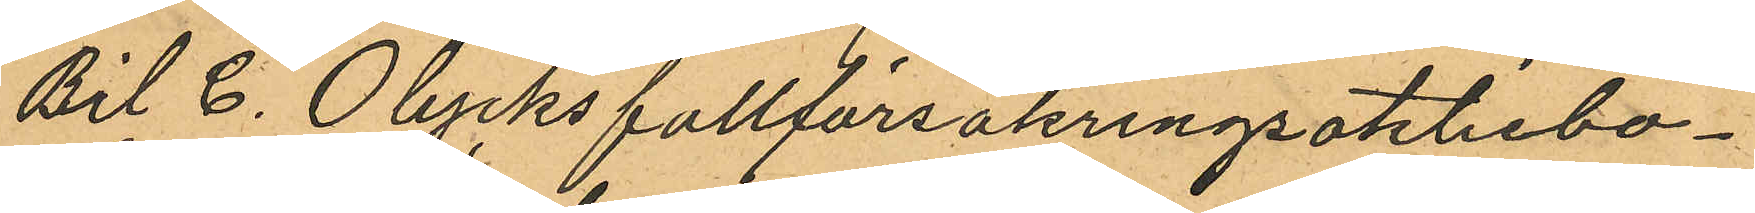Bil C. Olycksfallförsäkringsaktiebo¬
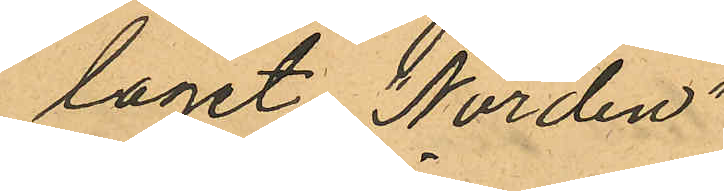laget "Norden"
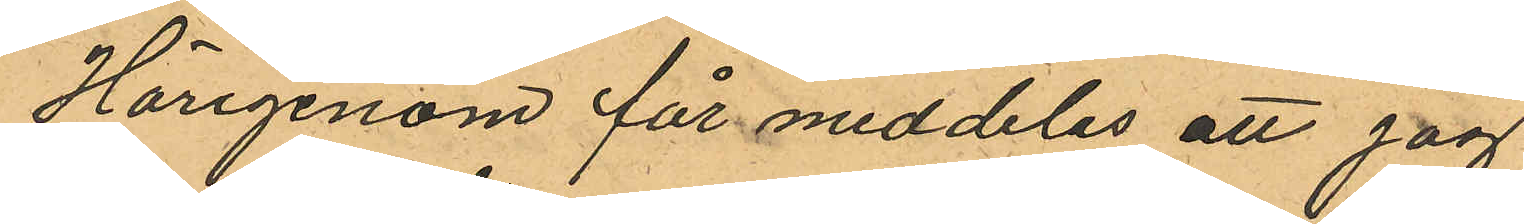Härigenom får meddelas att jag
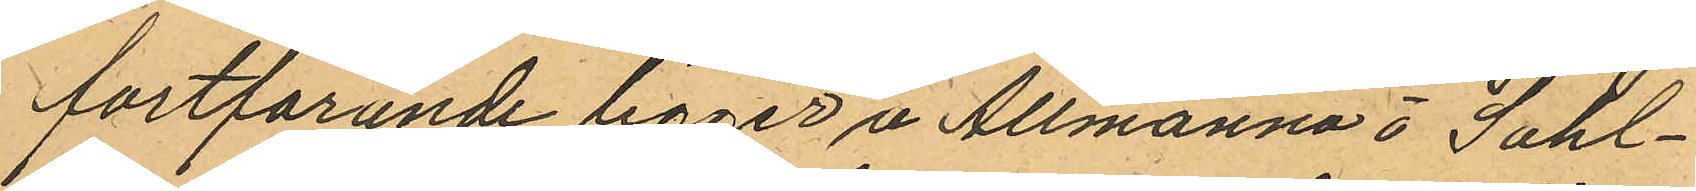fortfarande ligger å Allmänna å Sahl¬
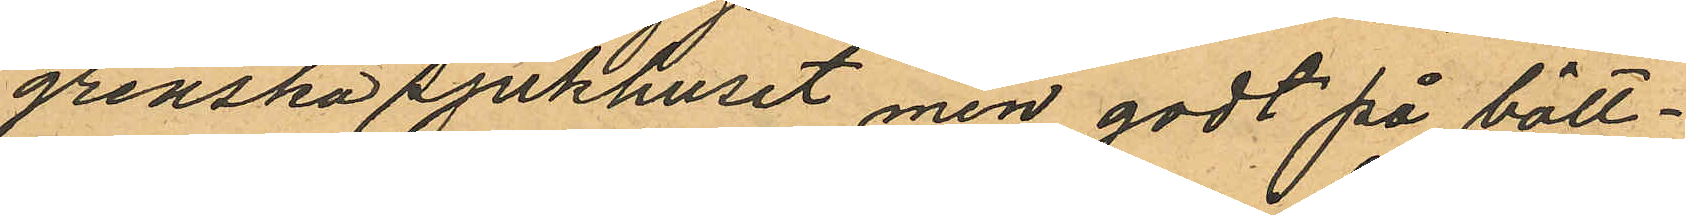grenska sjukhuset men godt på bätt¬
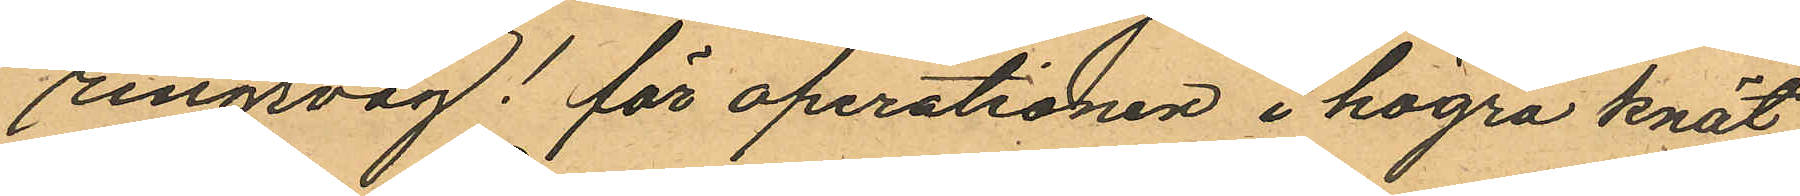ringsväg! för operationen i högra knät,
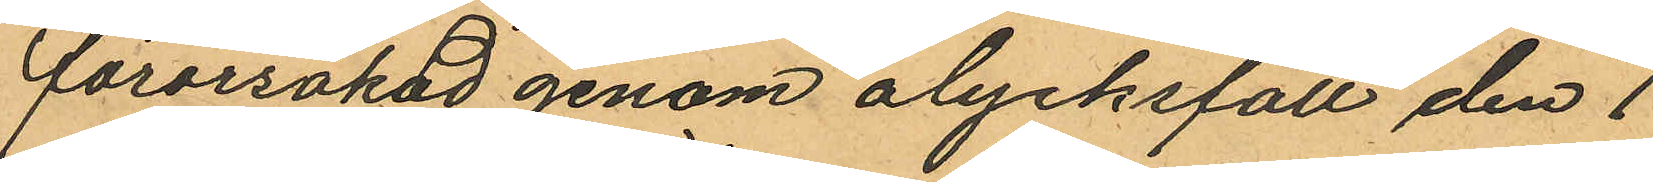förorsakad genom olycksfall den 1
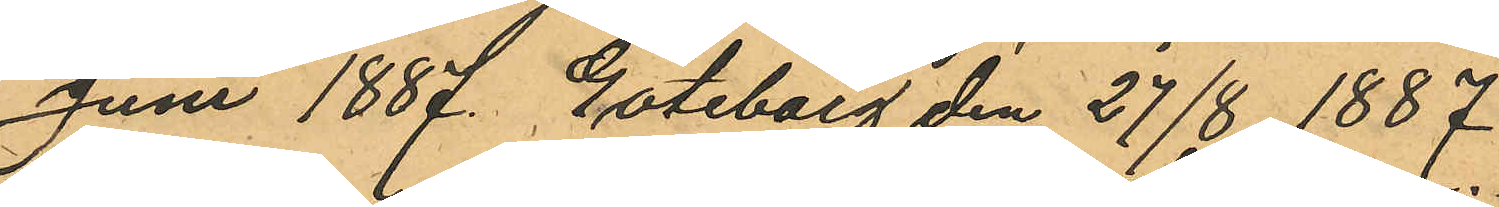Juni 1887. Göteborg den 27/8 1887
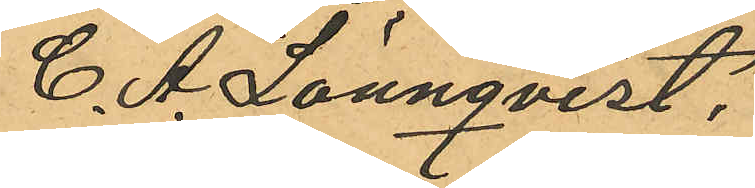C. A. Lönnqvist.
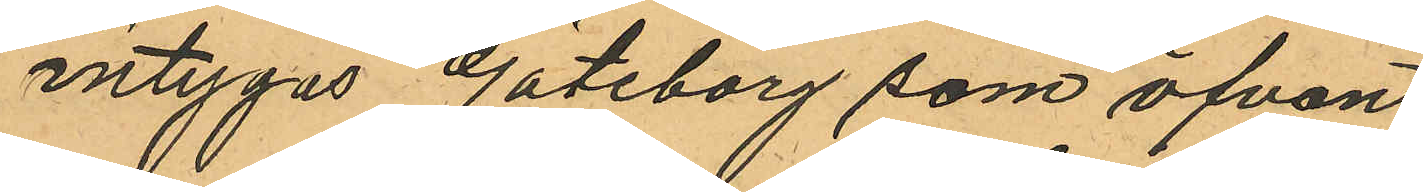intygas Göteborg som ofvan
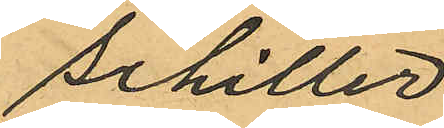Schiller
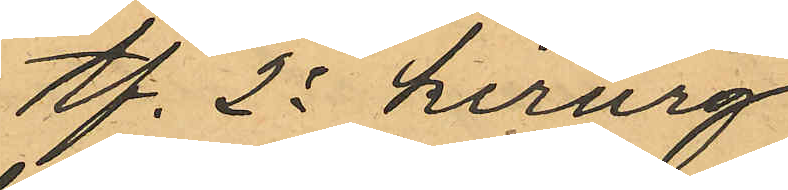tf. 2e kirurg.
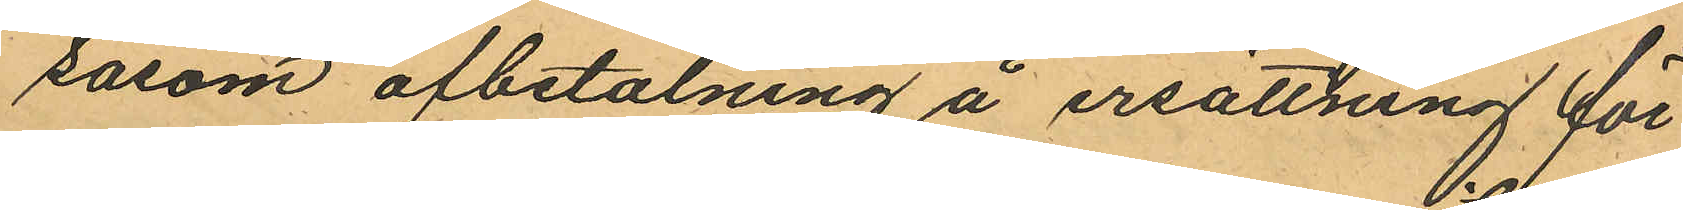såsom afbetalning å ersättning för
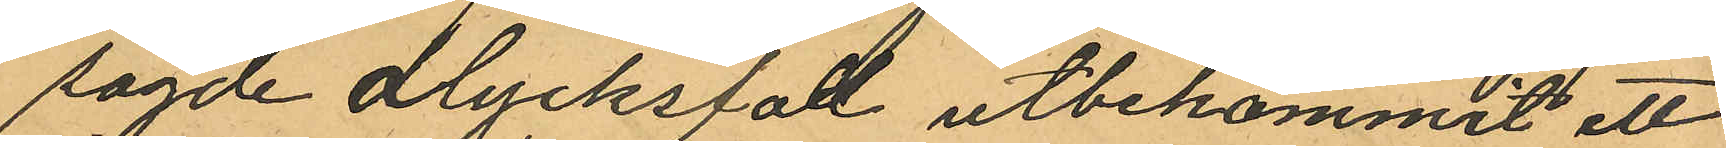sagde olycksfall utbekommit ett
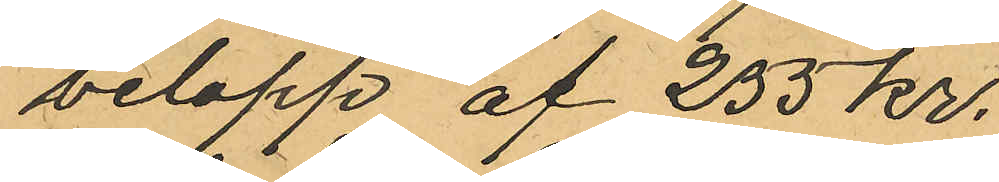belopp af 255 kr.
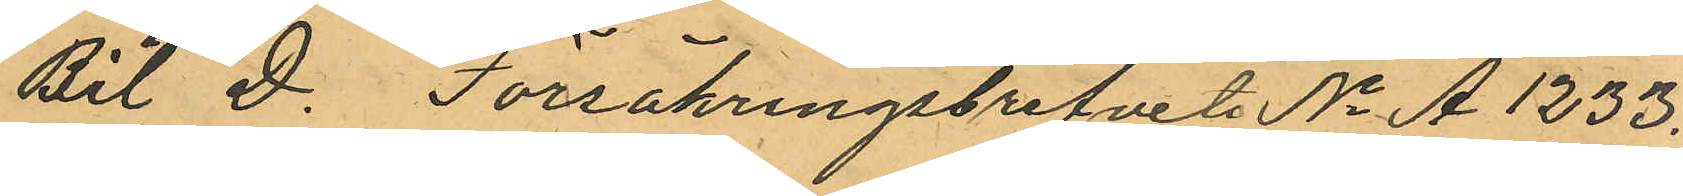Bil D. Försäkringsbrefvet No A 1233.
